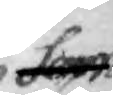som
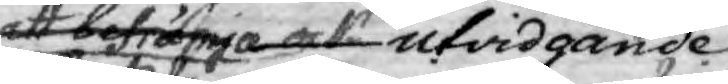att befrämja ock utvidgande
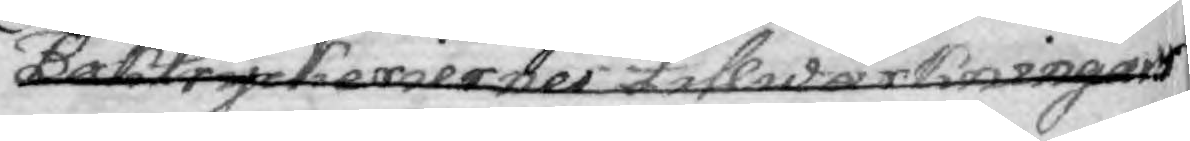Boktryckerienes tillwärkningar
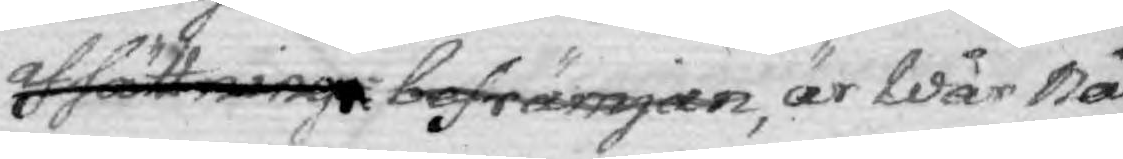afsättning befrämjar, är Wår Nå¬
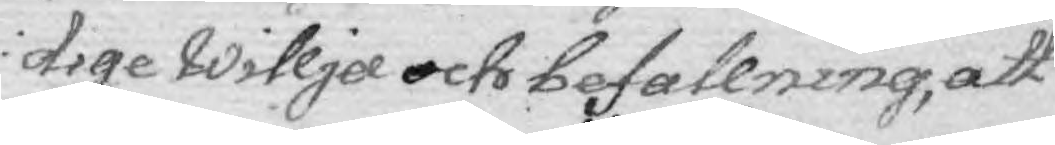dige willja och befallning, att
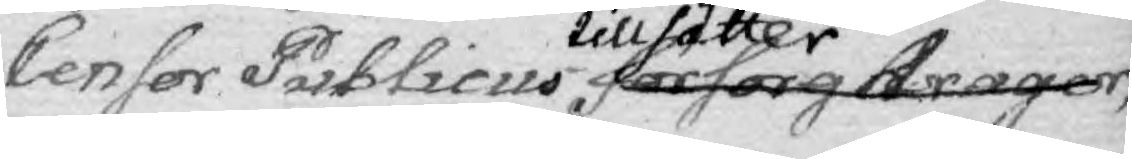Censor Publicus tillsätter försorg drager,
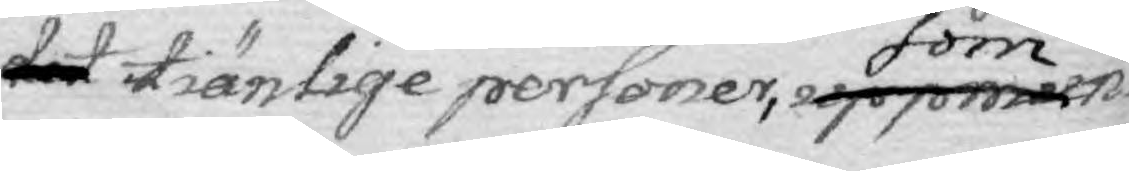det tiänlige personer, som uppmun¬
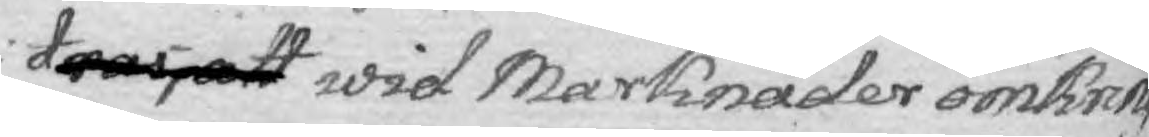dras, att wid Marknader omkring
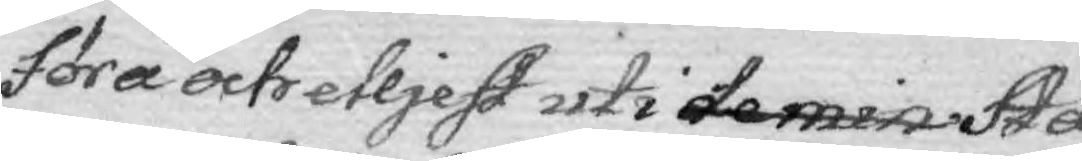föra och elljest uti de minsta Stä¬
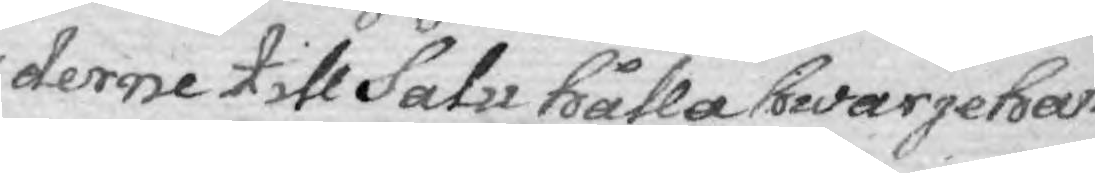derne till Salu hålla hwarjehan¬
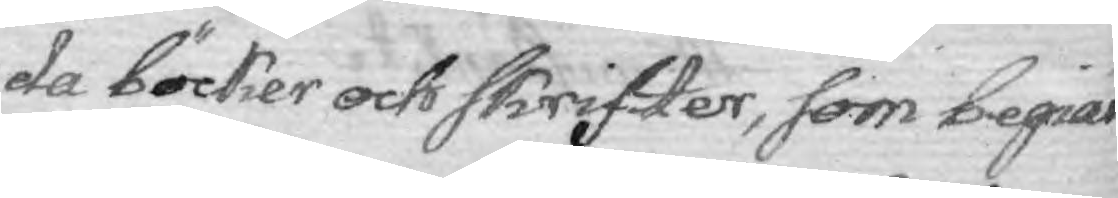da Böcker och Skrifter, som begiär¬
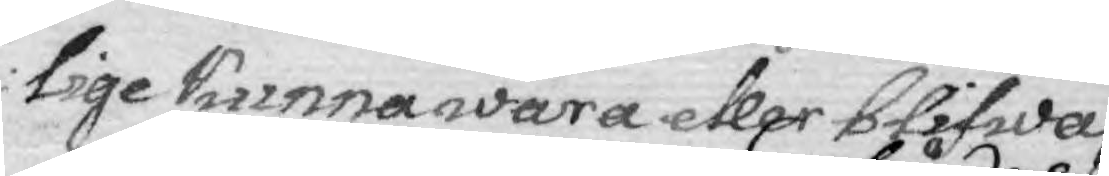lige kunna wara eller blifwa,
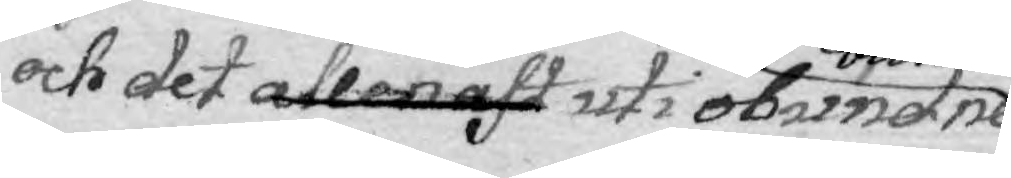och det allenast uti obundne
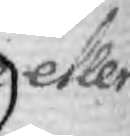eller
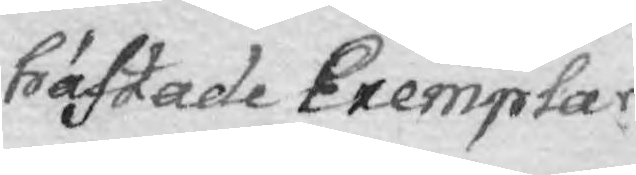häftade Exemplar.
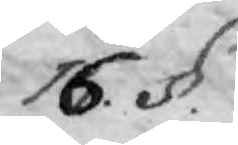16. §.
